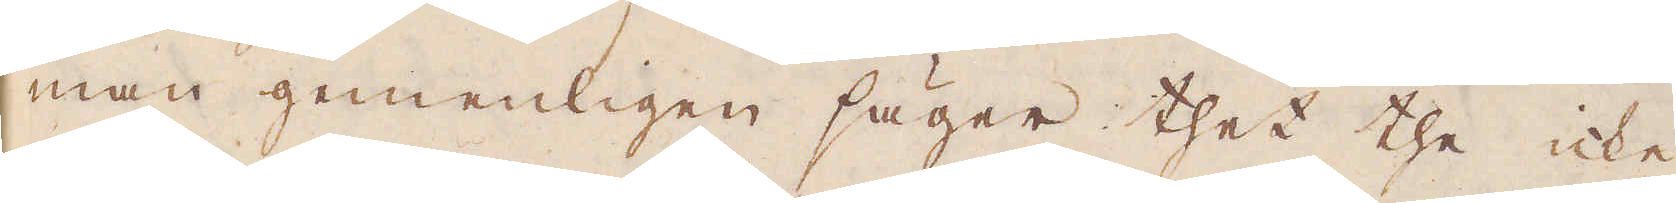man gemenligen säger thet the icke
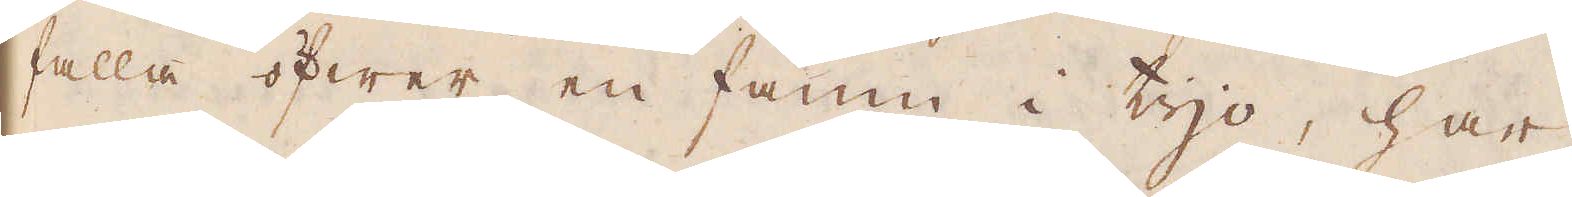falla öfwer en famn i tijo, har
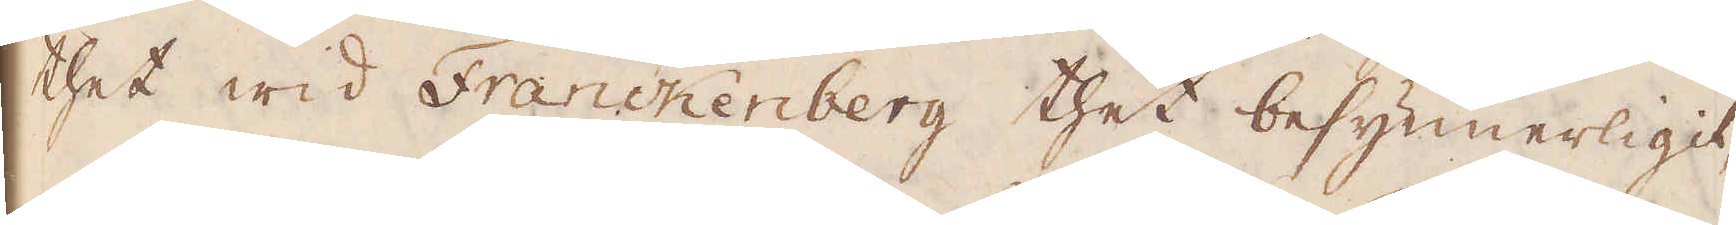thet wid Franckenberg thet besynnerligt,
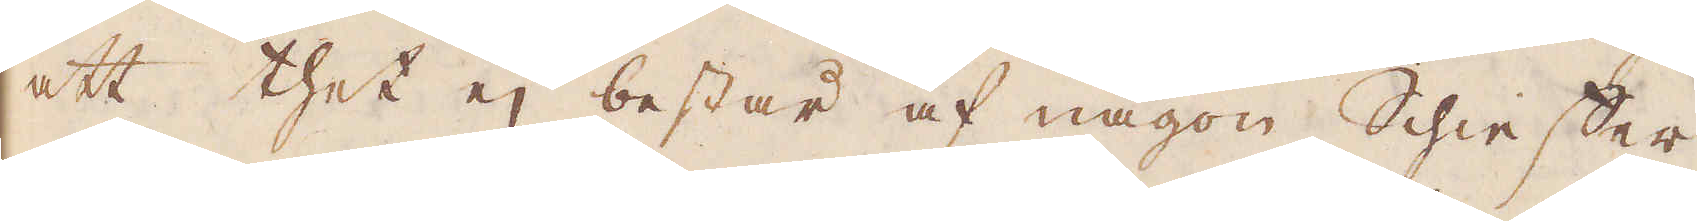att thet ej består af någon Schieffer
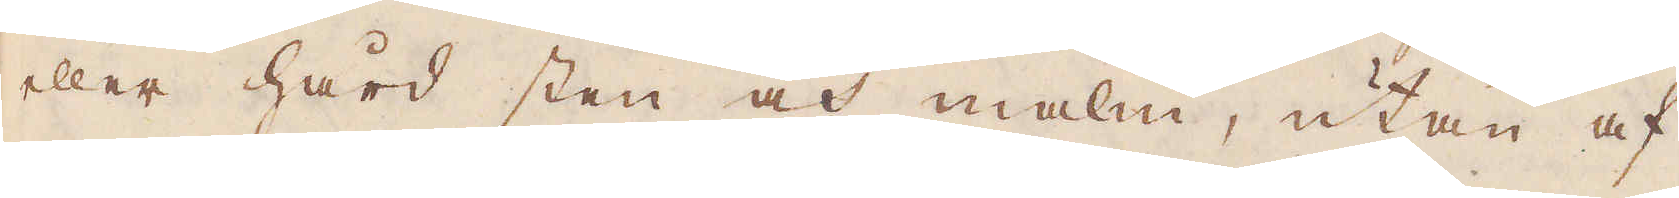eller hård sten och malm, utan af
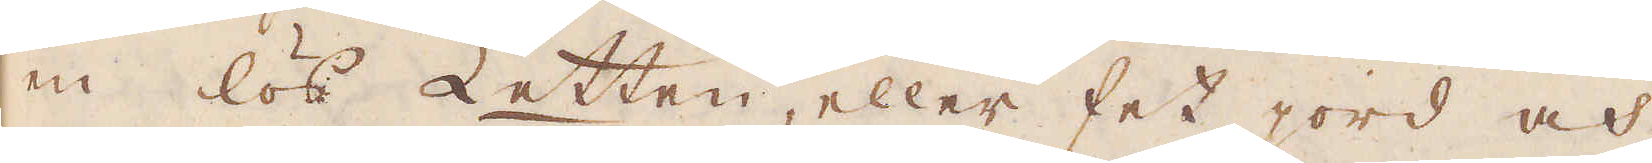en lös Letten, eller fet jord och
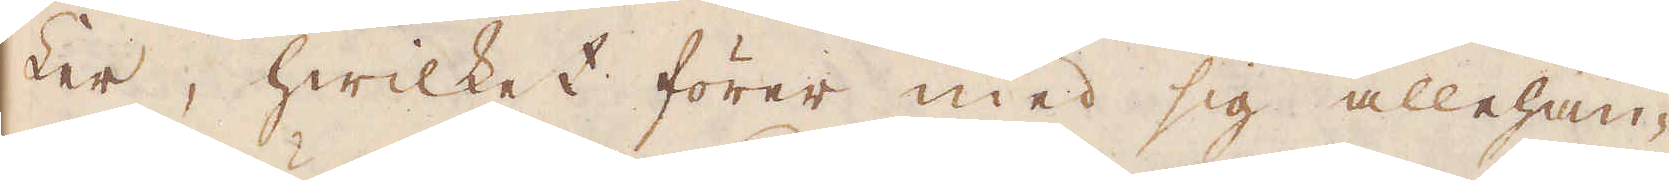Ler, hwilket förer med sig allehan-
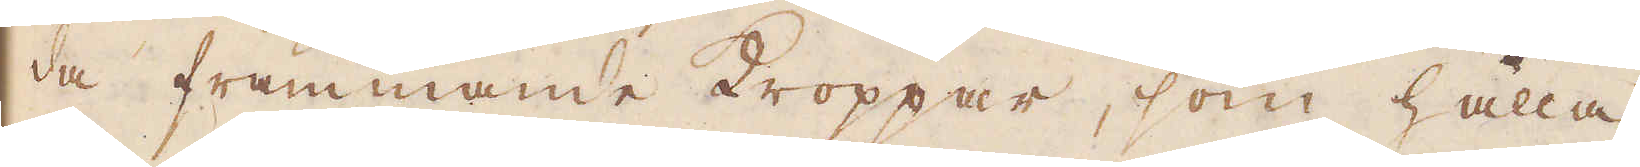da främmande Kroppar, som hålla
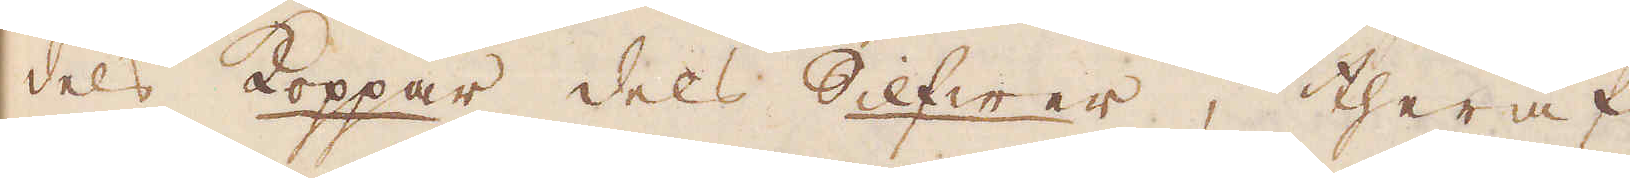dels Koppar dels Silfwer, theraf
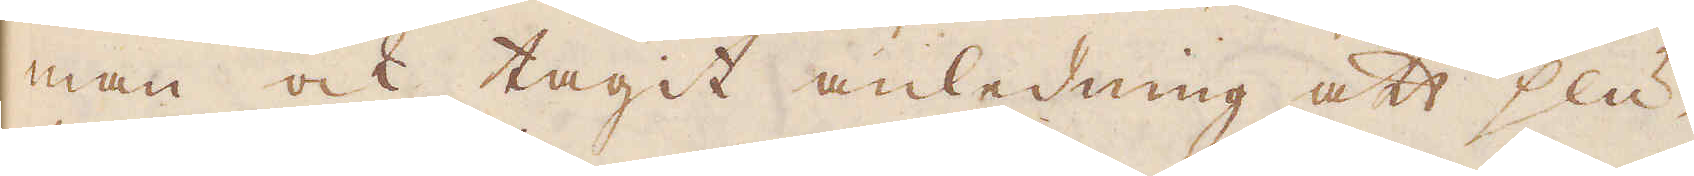man ock tagit anledning att slu-
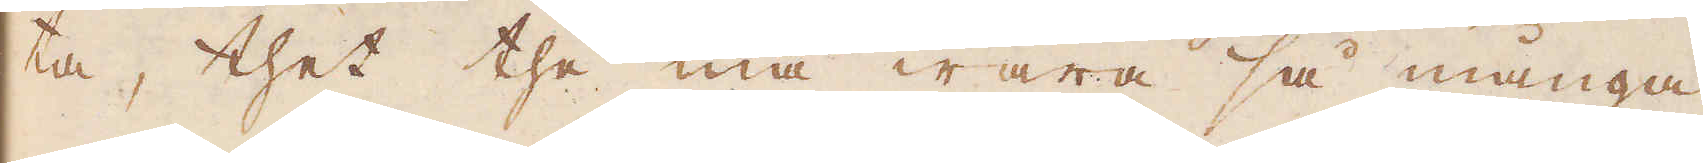ta, thet the må wara så många
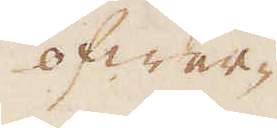öfwer-
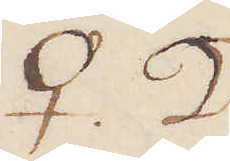♀ ☽
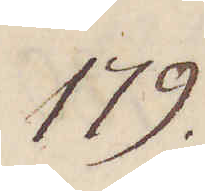179.
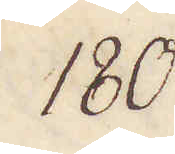180.
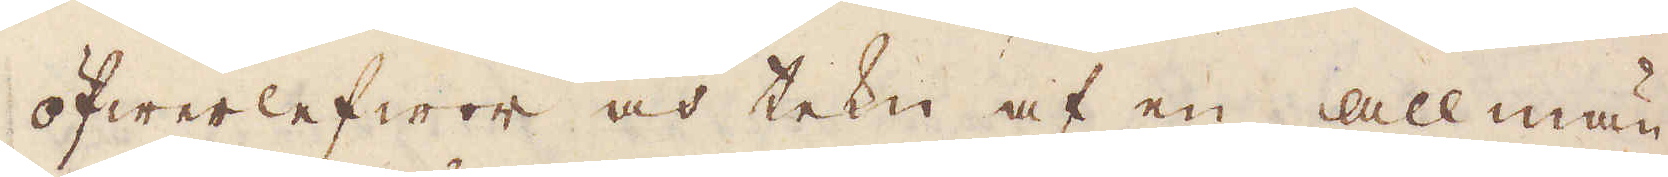öfwerlefwor och tekn af en allmän,
